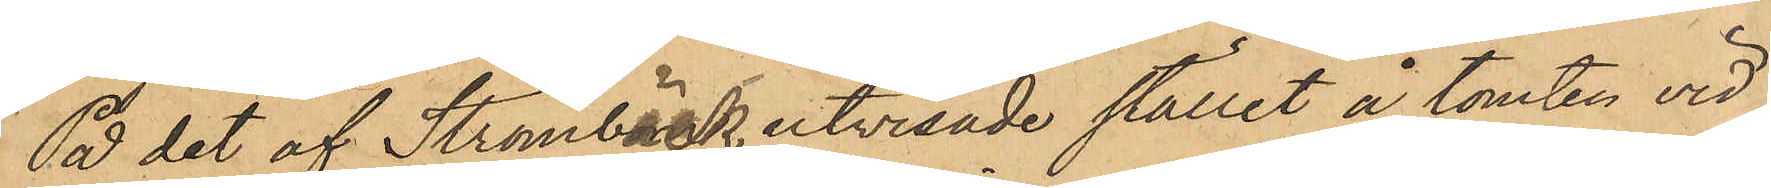På det af Strömback utvisade stället å tomten vid
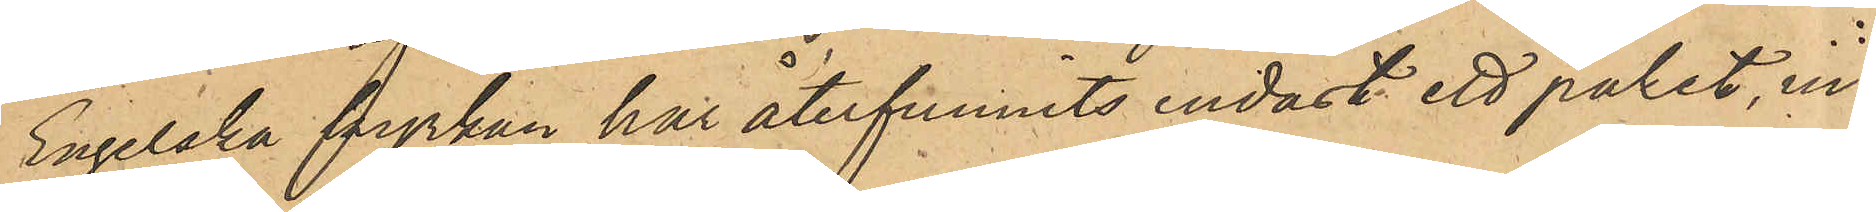Engelska kyrkan har återfunnits endast ett paket, in¬
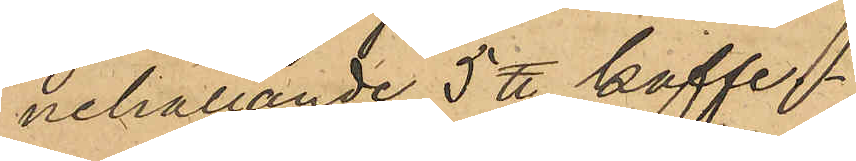nehållande 5 ℔ kaffe.
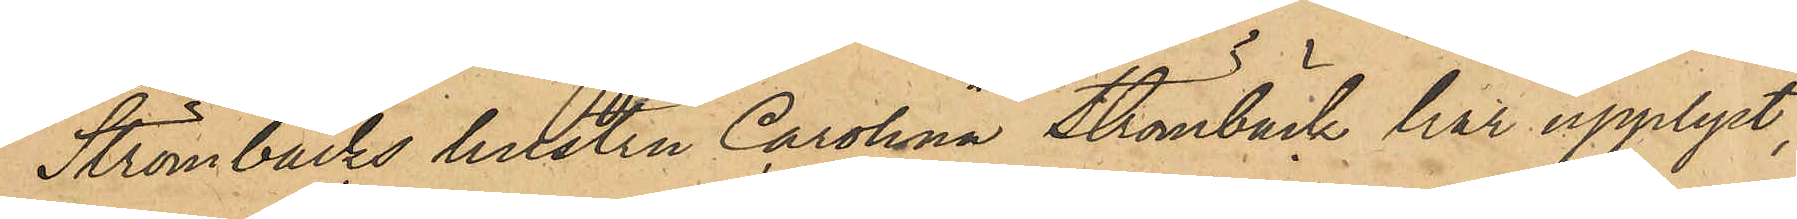Strömbäcks hustru Carolina Strömbäck har upplyst,
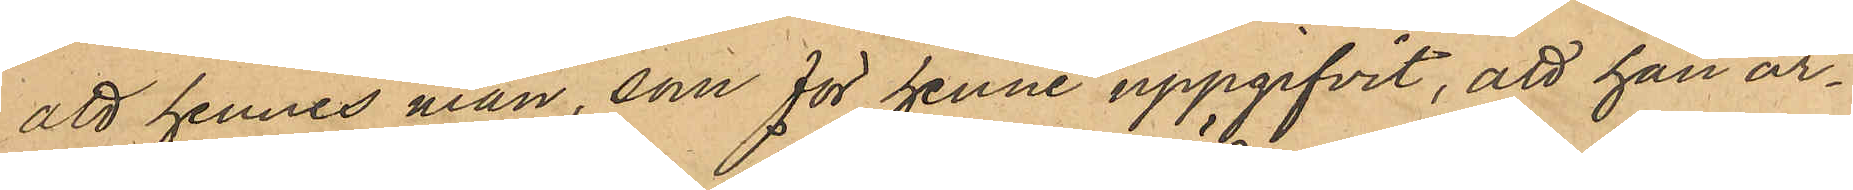att hennes man, som för henne uppgifvit, att han ar¬
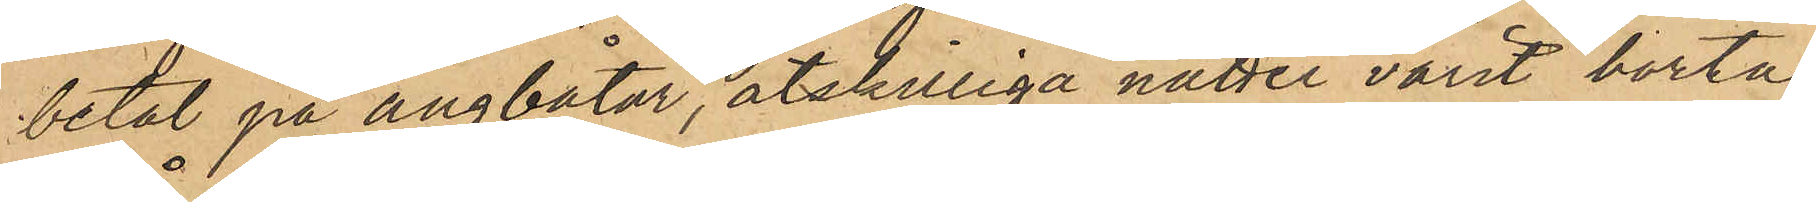betat på ångbåtar, åtskilliga nätter varit borta
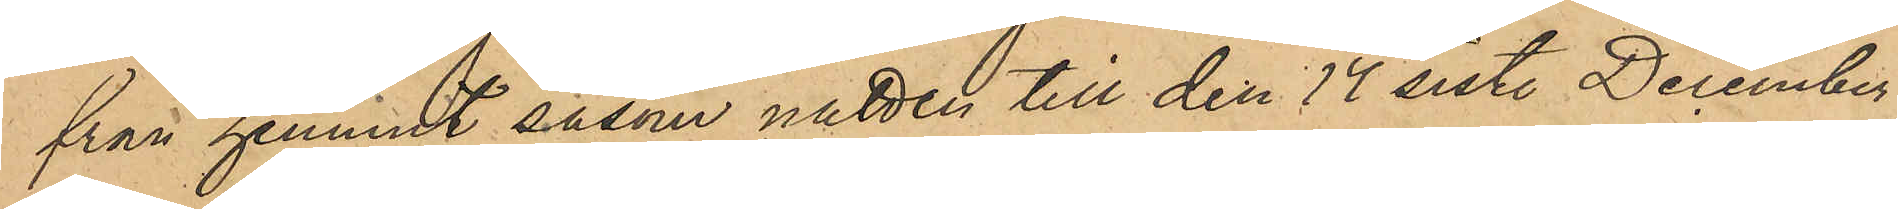från hemmet såsom natten till den 17 sist. December
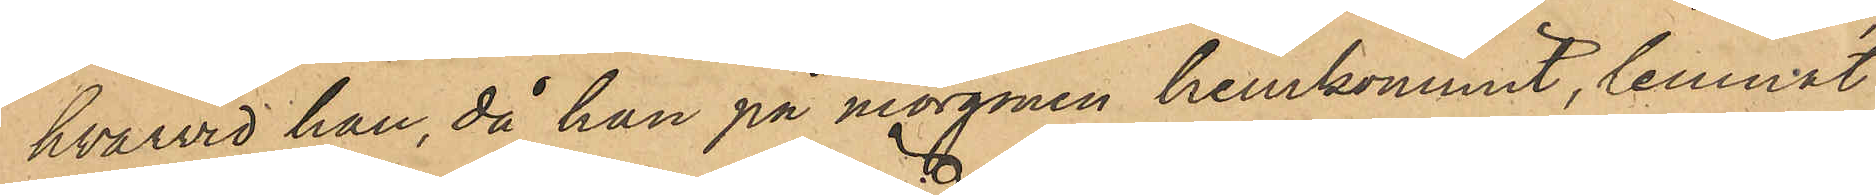hvarvid han, då han på morgonen hemkommit, lemnat
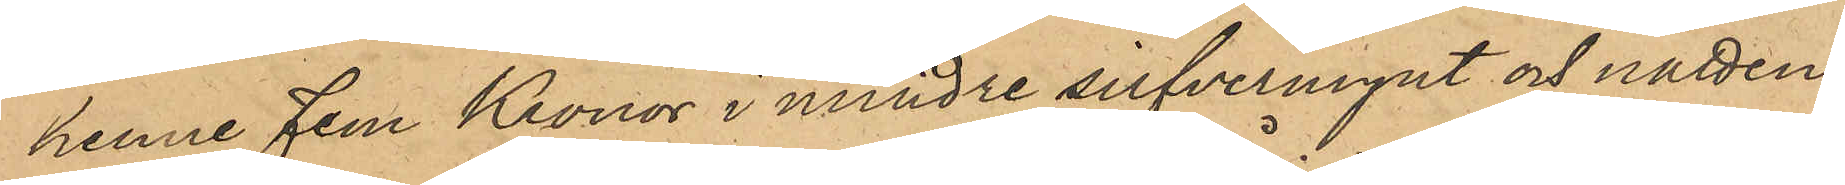henne fem Kronor i mindre silfvermynt och natten
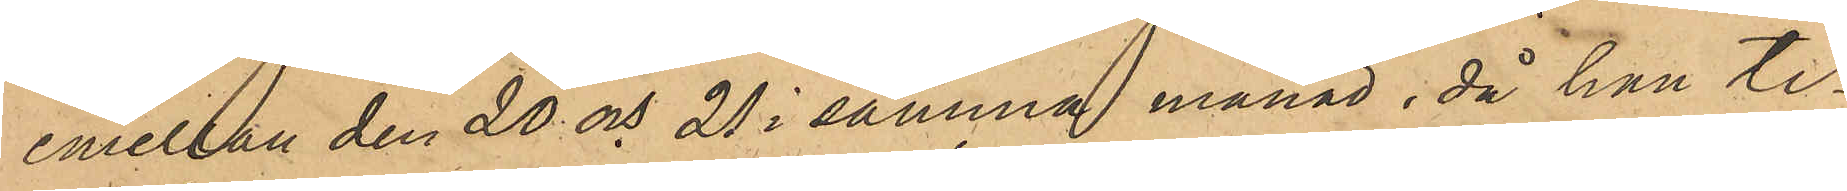emellan den 20 och 21 i samma månad, då han ti¬
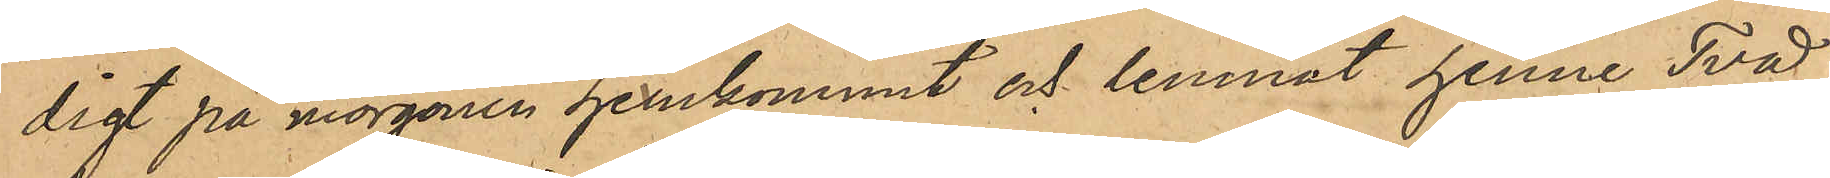digt på morgonen hemkommit och lemnat henne Två
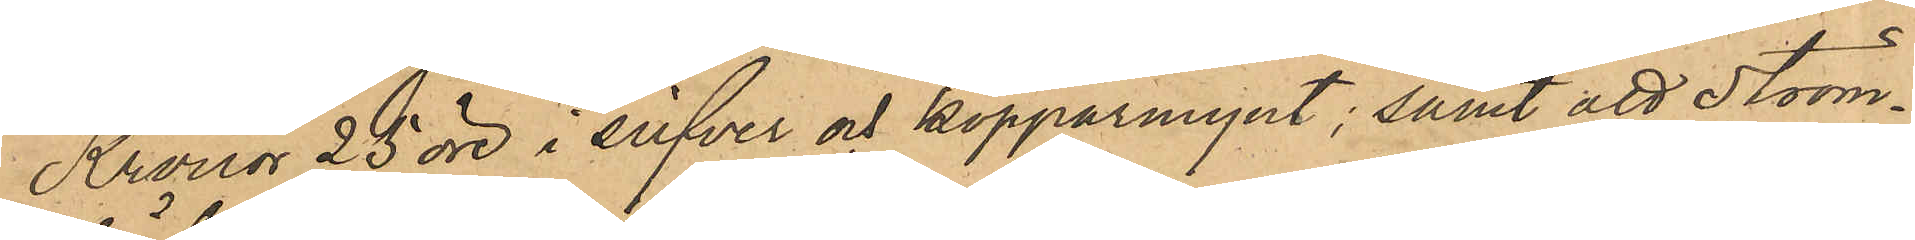Kronor 25 öre i silfver och kopparmynt; samt att Ström¬
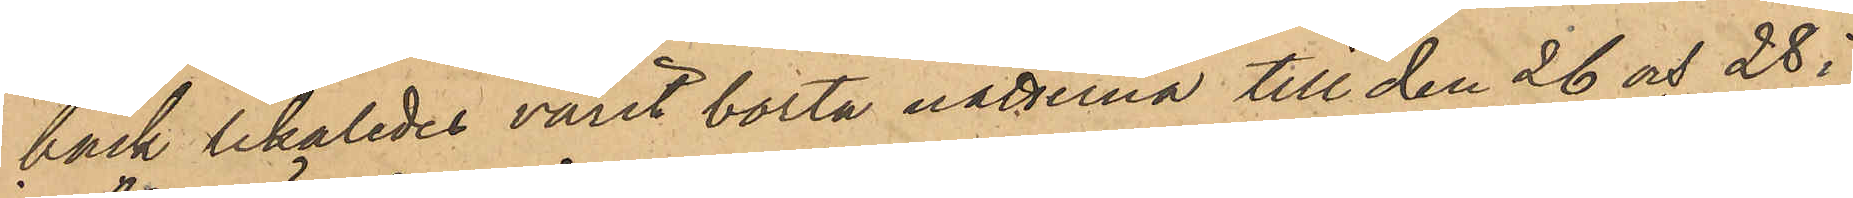bäck likaledes varit borta nätterna till den 26 och 28 i
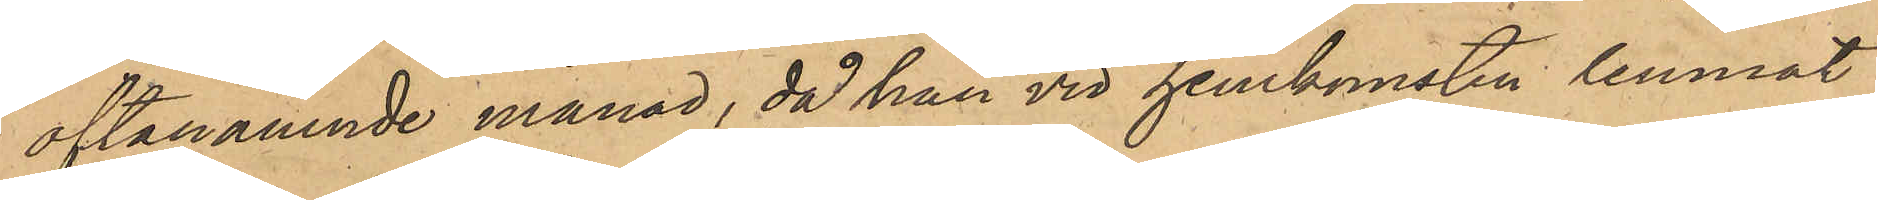oftanämnde månad, då han vid hemkomsten lemnat
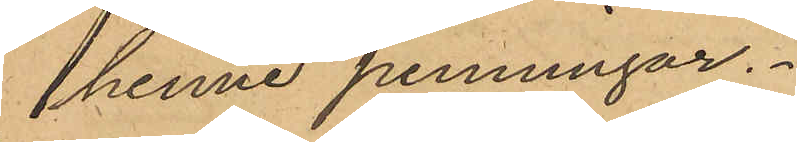henne penningar.
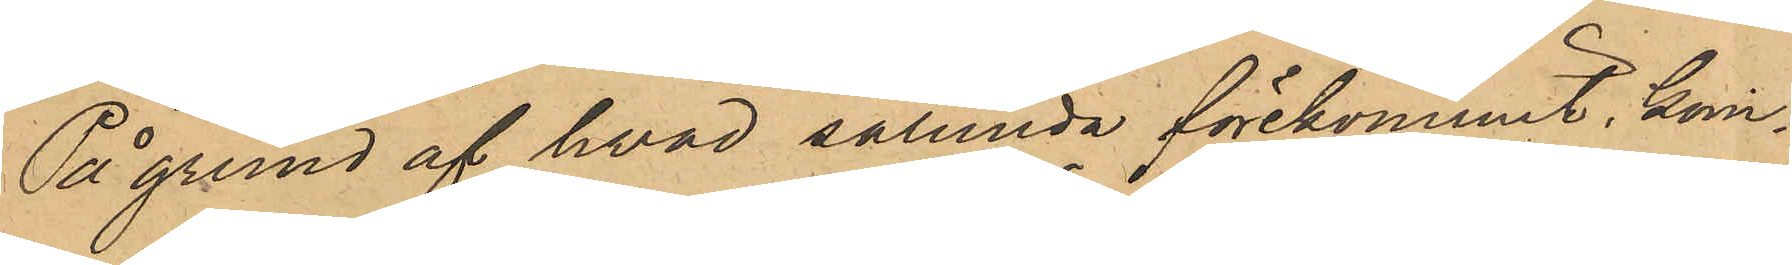På grund af hvad sålunda förekommit, kom¬
